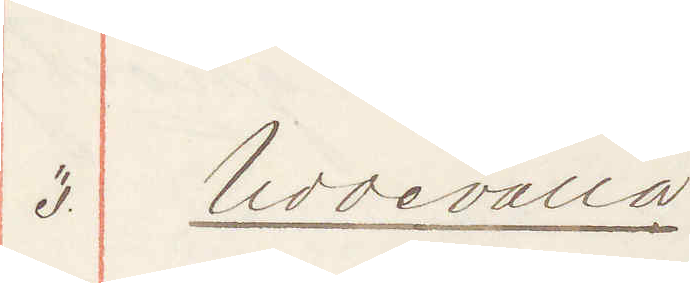3. Uddevalla
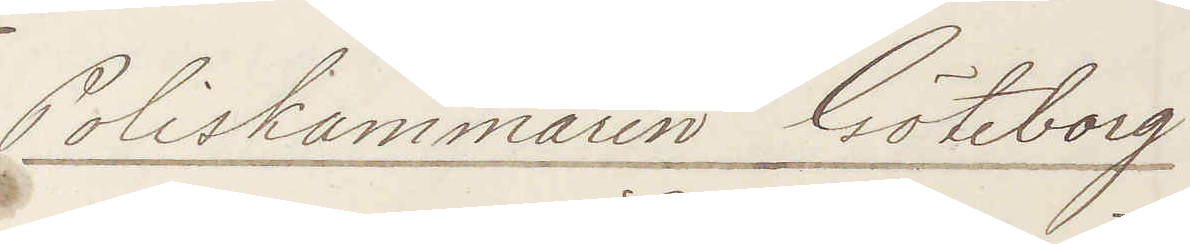Poliskammaren Göteborg
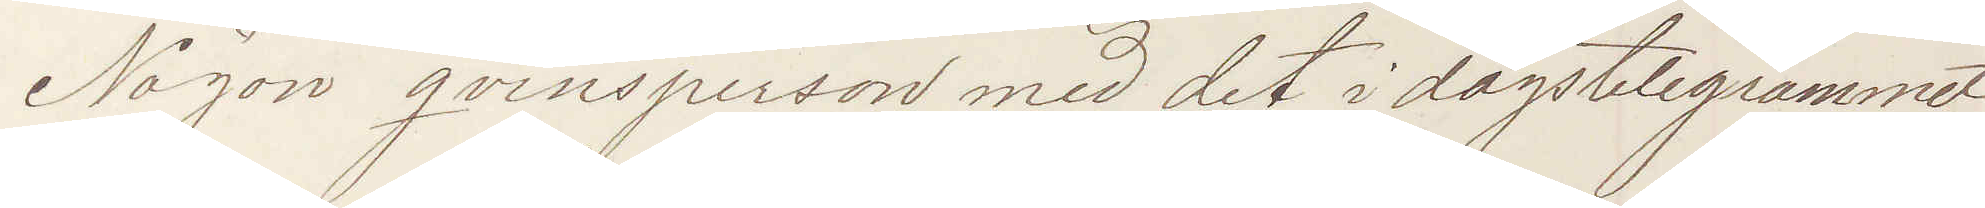Någon qvinsperson med det i dagstelegrammet
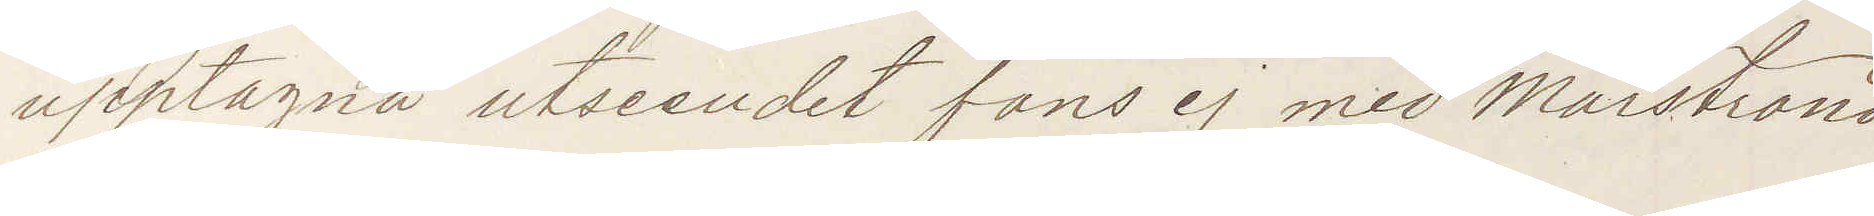upptagna utseendet fans ej med Marstrand
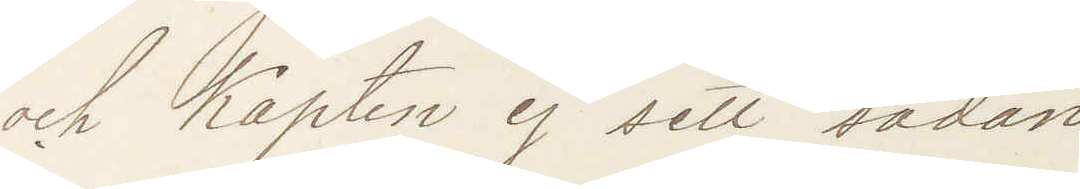och Kapten ej sett sådan
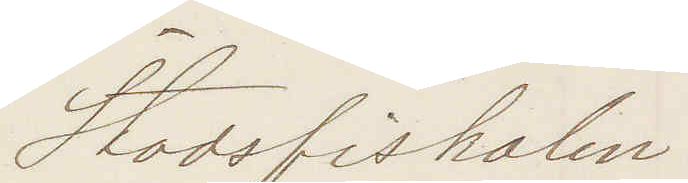Stadsfiskalen
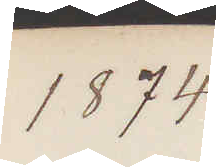1874
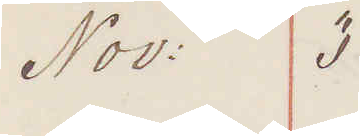Nov: 3
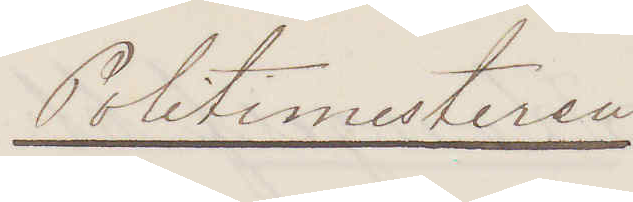Politimesteren
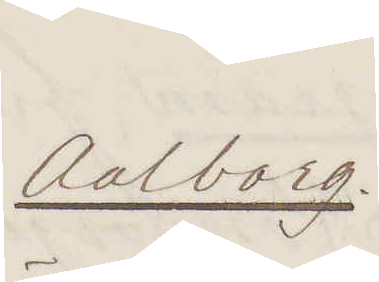Aalborg.
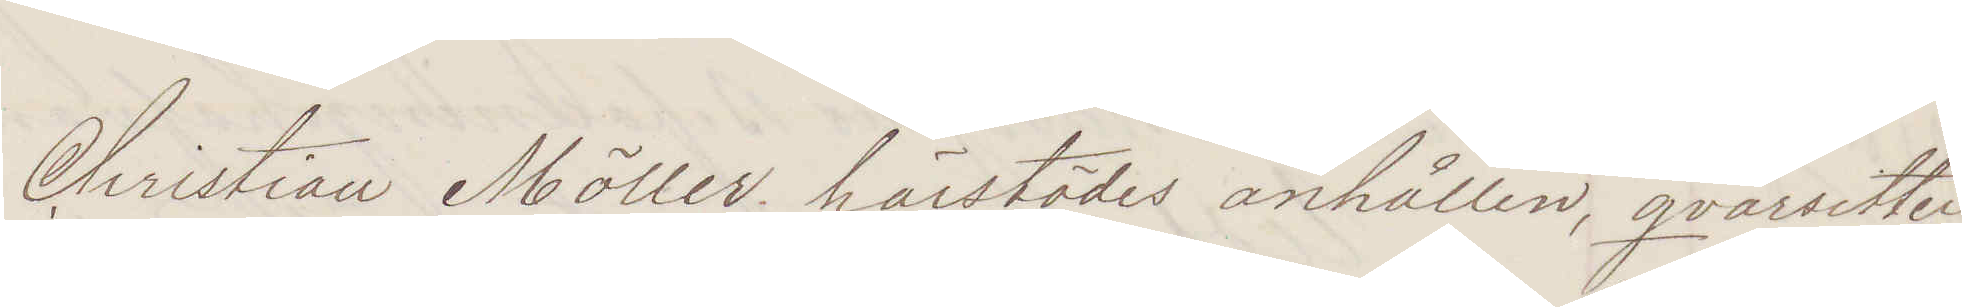Christian Möller. härstädes anhållen, qvarsitter
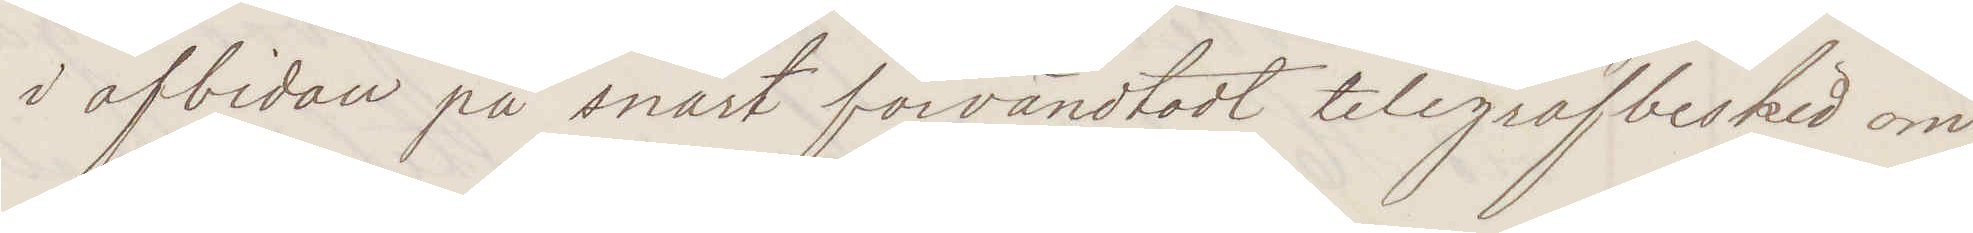i afbidan på snart förvändtadt telegrafbesked om
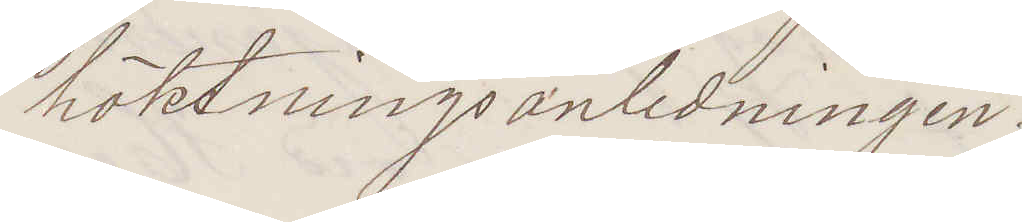häktningsanledningen.
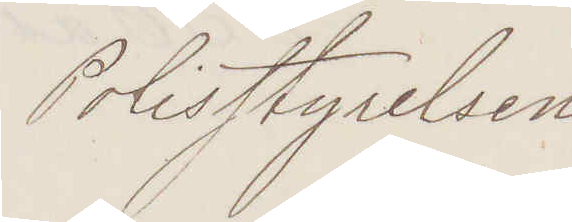Polisstyrelsen
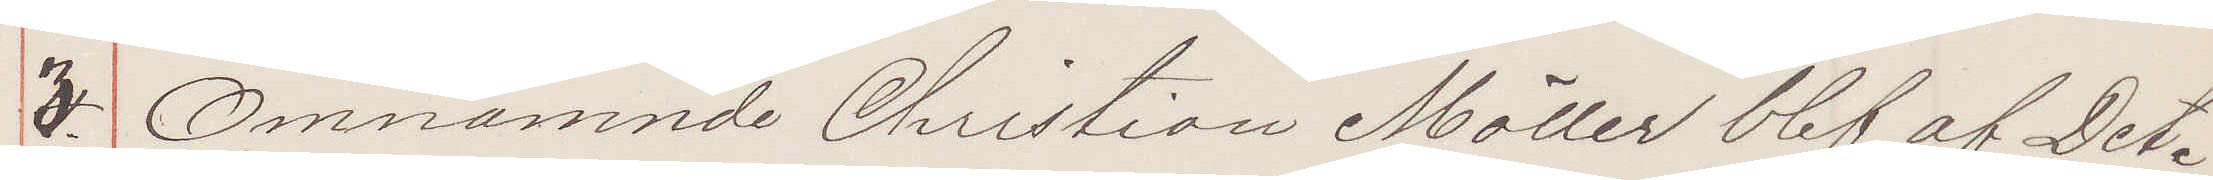3. Omnämnde Christian Möller blef af Det
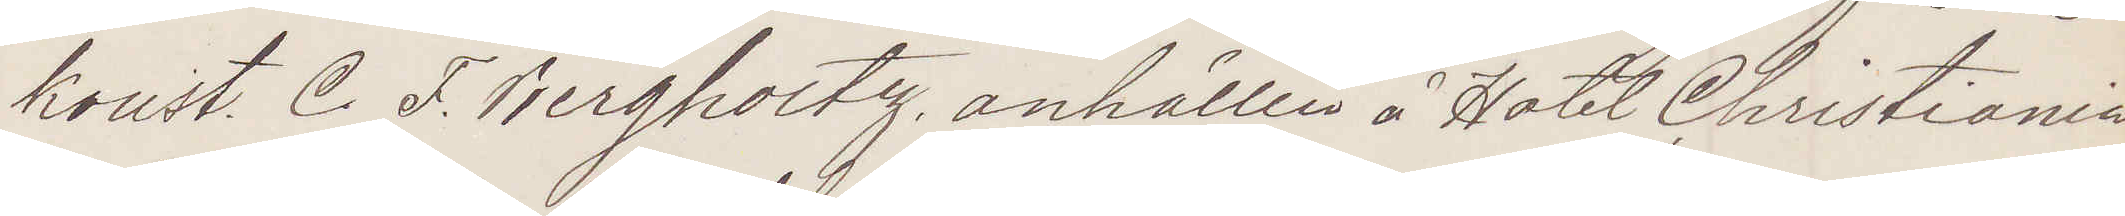konst. C. F. Bergholtz anhållen å Hotel Christiania
